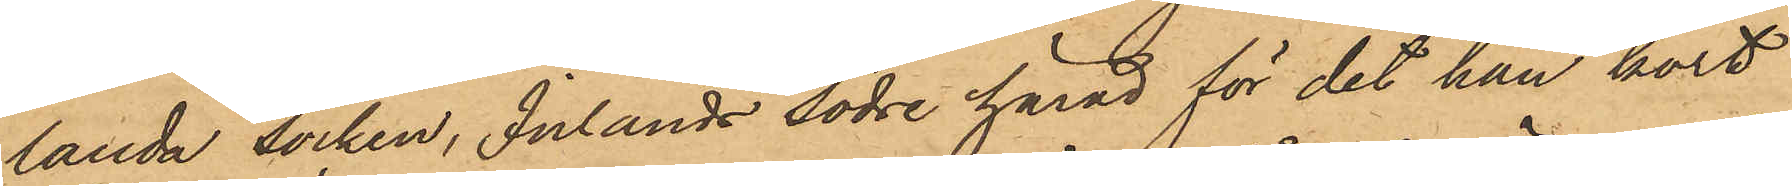landa socken, Inlands södre härad för det han kort
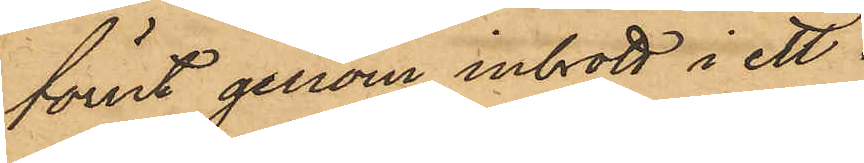förut genom inbrott i ett
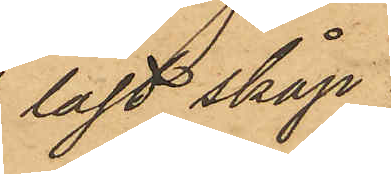låst skåp
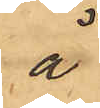å
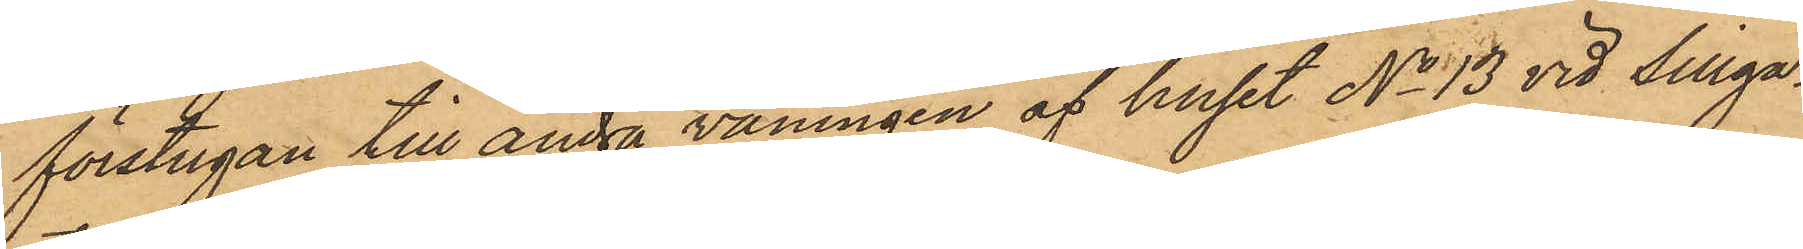förstugan till andra våningen af huset No 13 vid Sillga¬
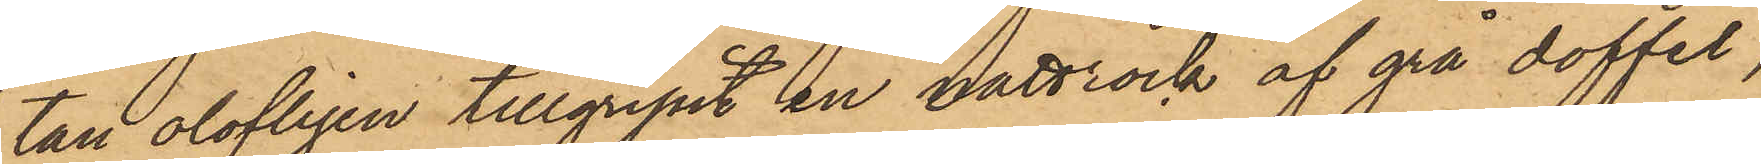tan olofligen tillgripit en nattrock af grå doffel,
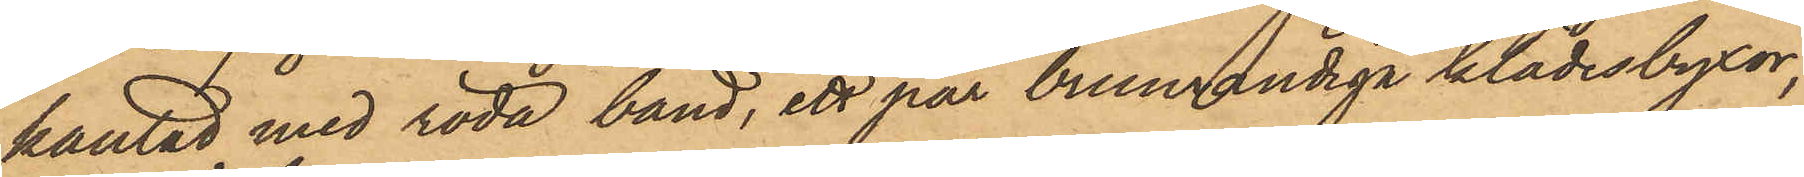kantad med röda band, ett par brunrandiga klädesbyxor,
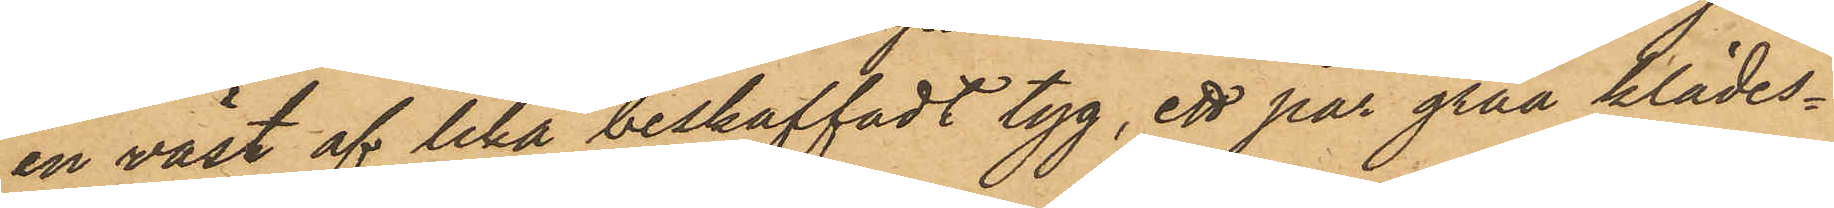en väst af lika beskaffadt tyg, ett par gråa klädes¬
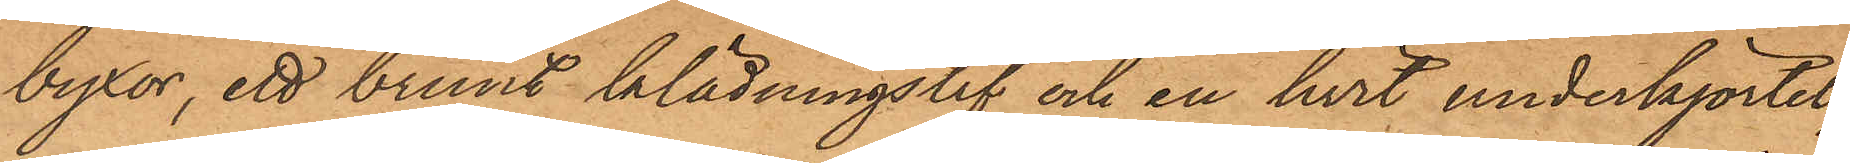byxor, ett brunt klädningslif och en hvit underkjortel;
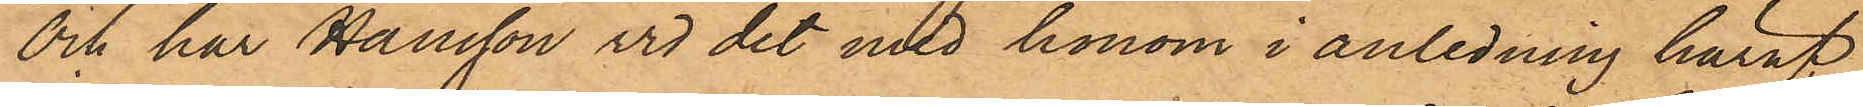och har Hansson vid det med honom i anledning häraf
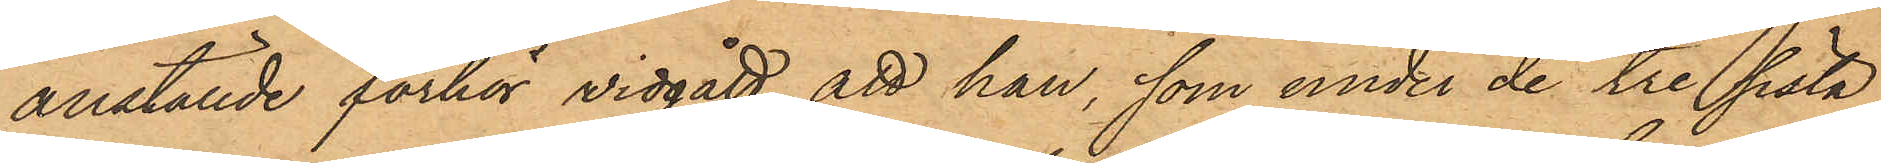anställde förhör vidgått, att han, som under de tre sista
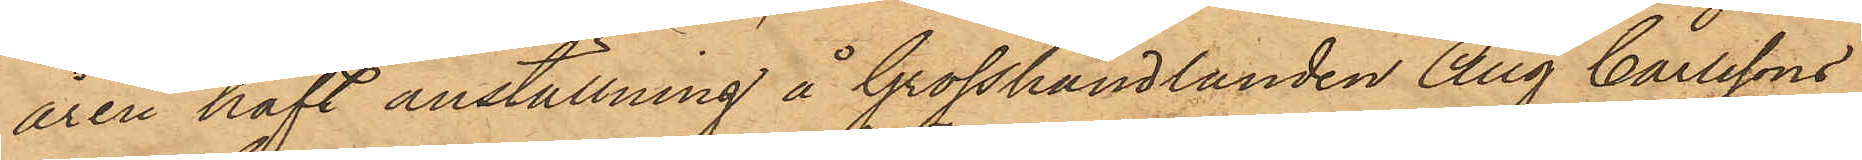åren haft anställning å Grosshandlanden Aug Carlssons
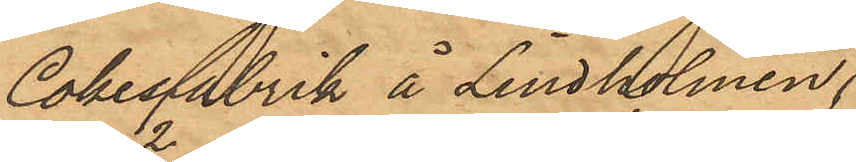Cokesfabrik å Lindholmen
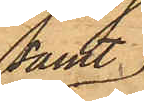samt
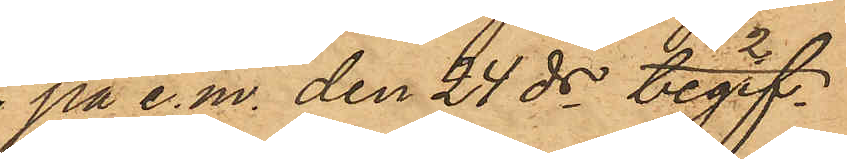 på e.m. den 24 ds begif¬
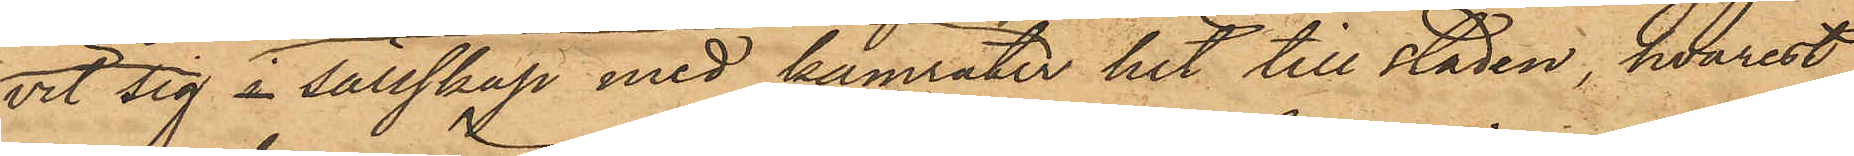vit sig i sällskap med kamrater hit till staden, hvarest
